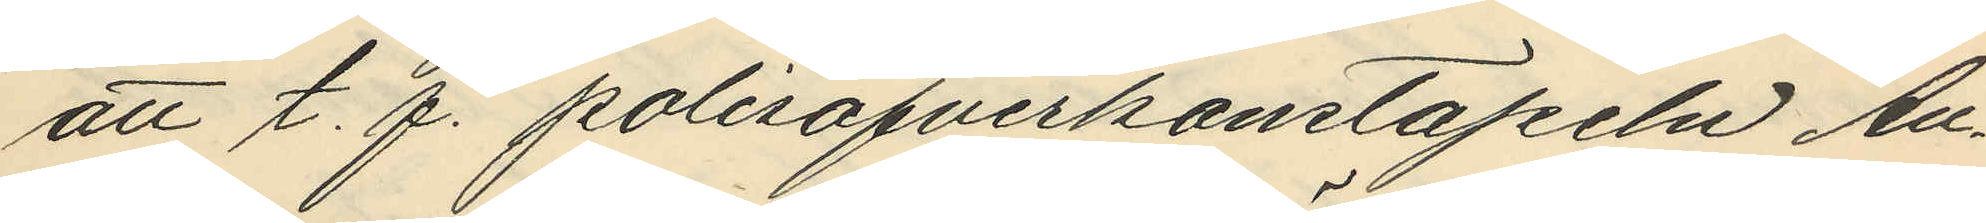att t. f. polisöfverkonstapeln An¬
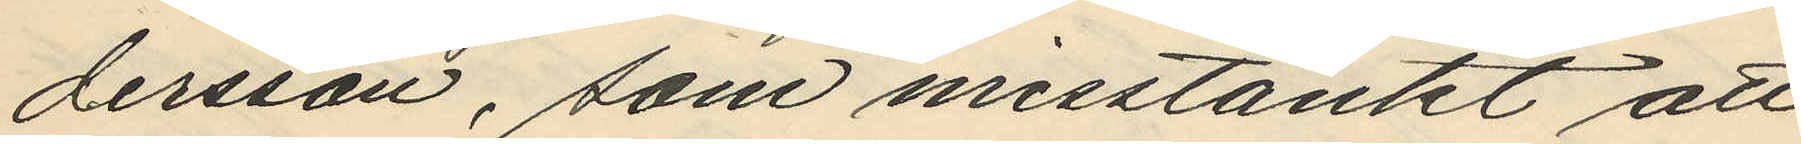dersson, som misstänkt att
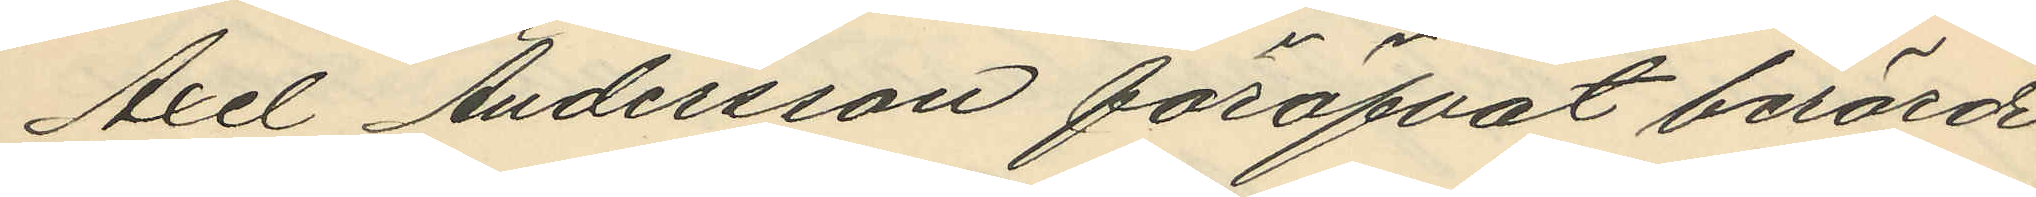Axel Andersson föröfvat berörde
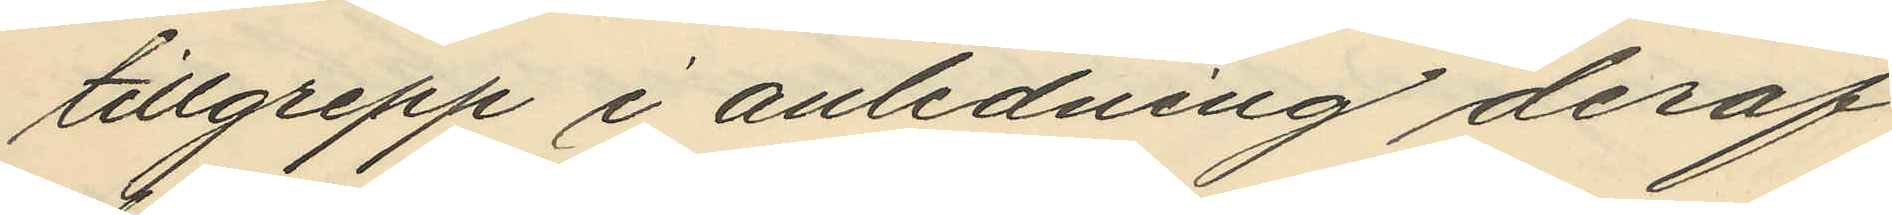tillgrepp i anledning deraf
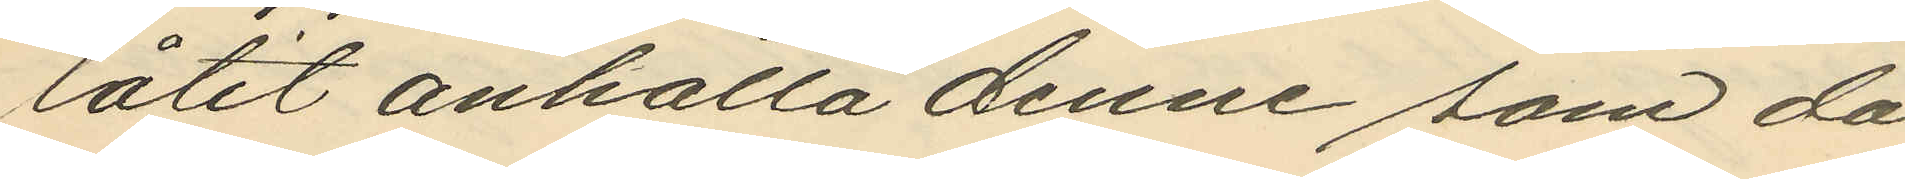låtit anhålla denne som då
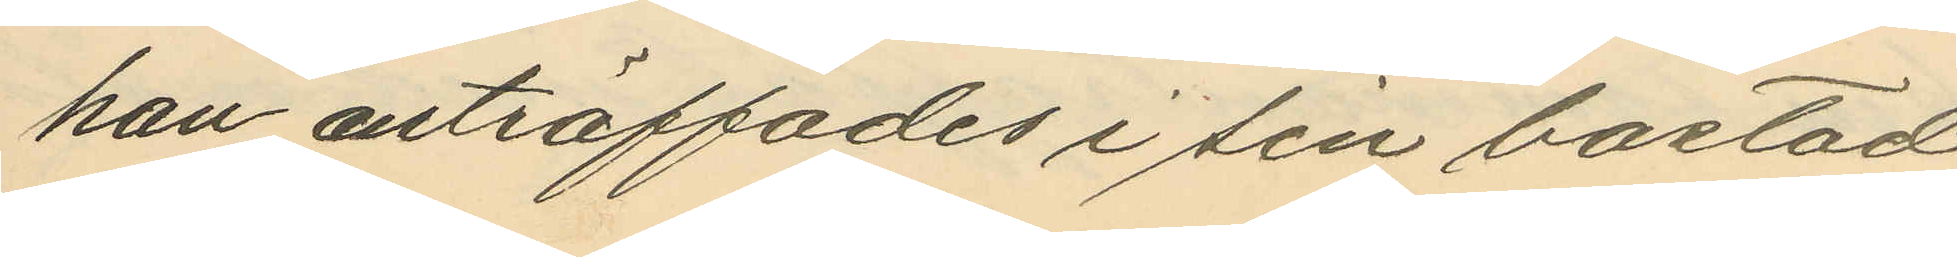han anträffades i sin bostad
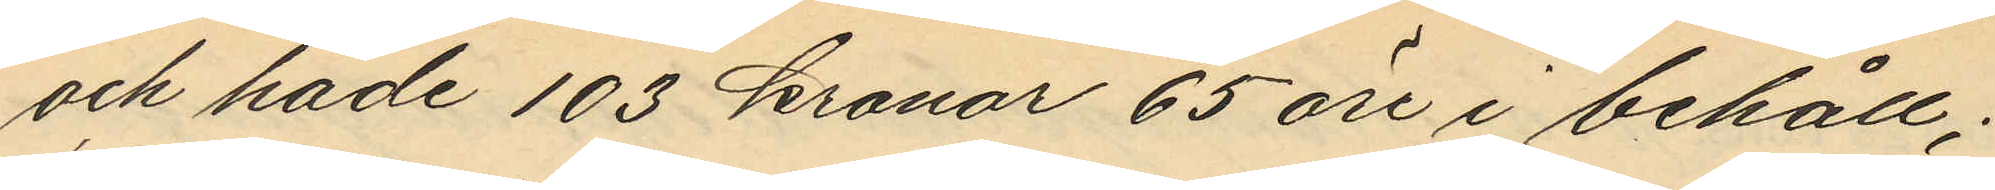och hade 103 kronor 65 öre i behåll;
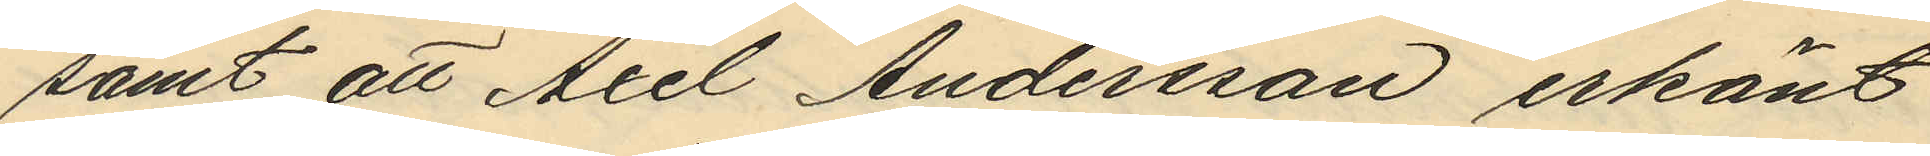samt att Axel Andersson erkänt
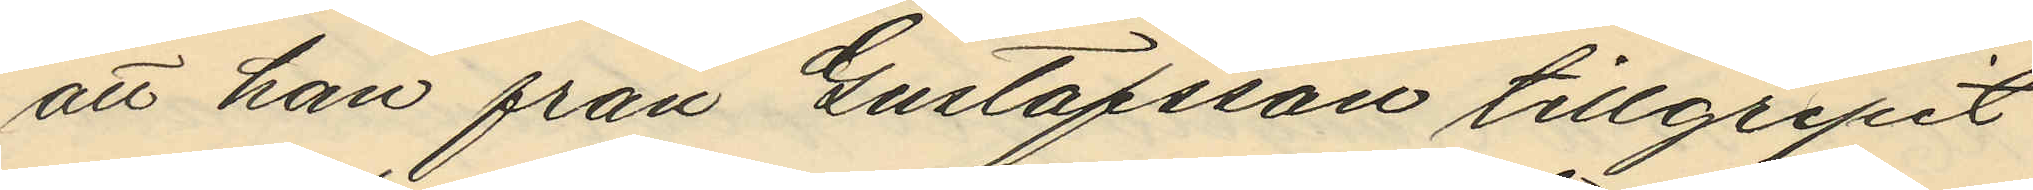att han från Gustafsson tillgripit
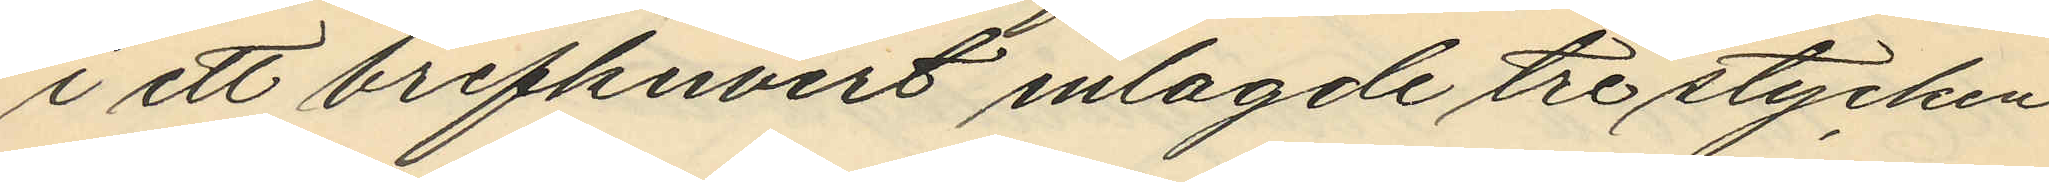i ett brefkuvert inlagde tre stycken
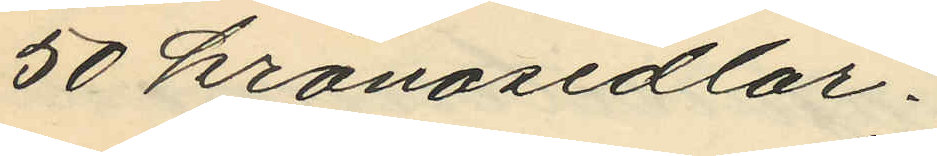50 kronosedlar.
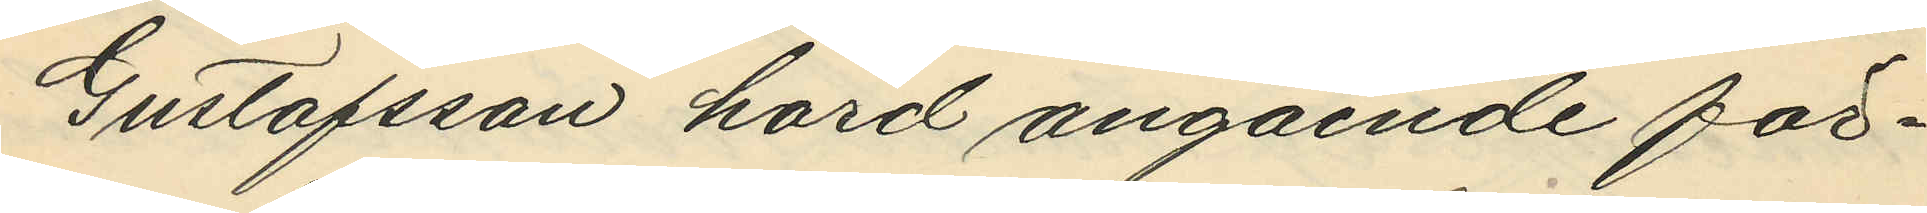Gustafsson hörd angående för¬
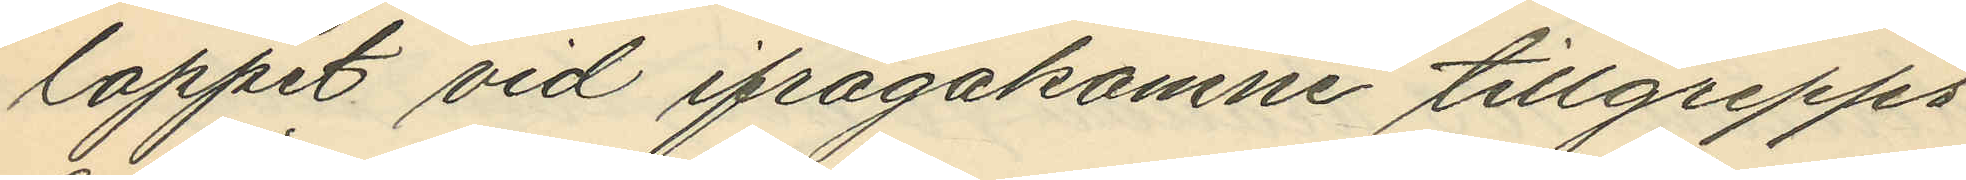loppet vid ifrågakomne tillgrepps
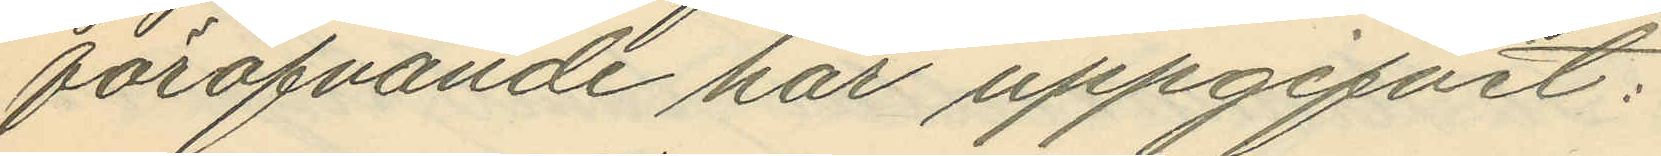föröfvande har uppgifvit:
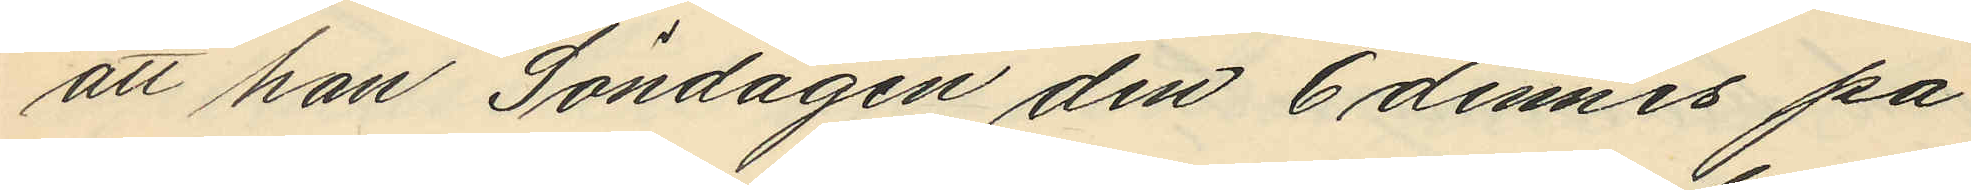att han Söndagen den 6 dennes på
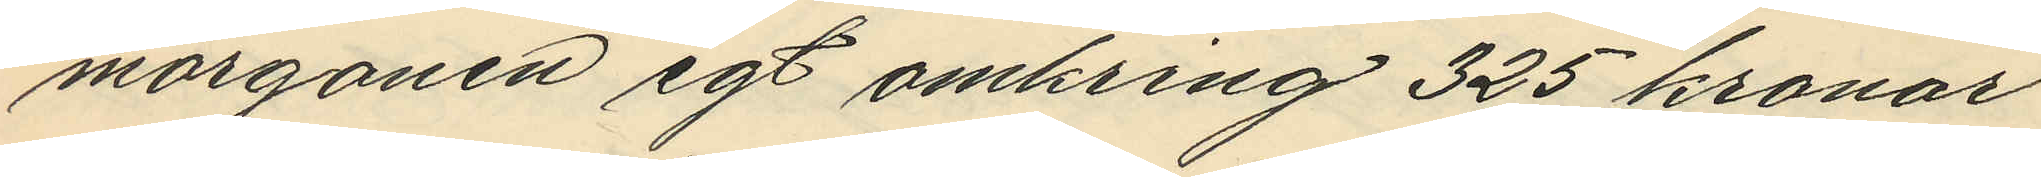morgonen egt omkring 325 kronor
